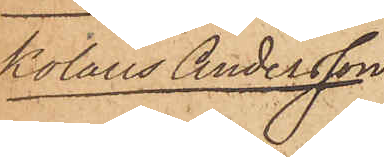kolaus Andersson
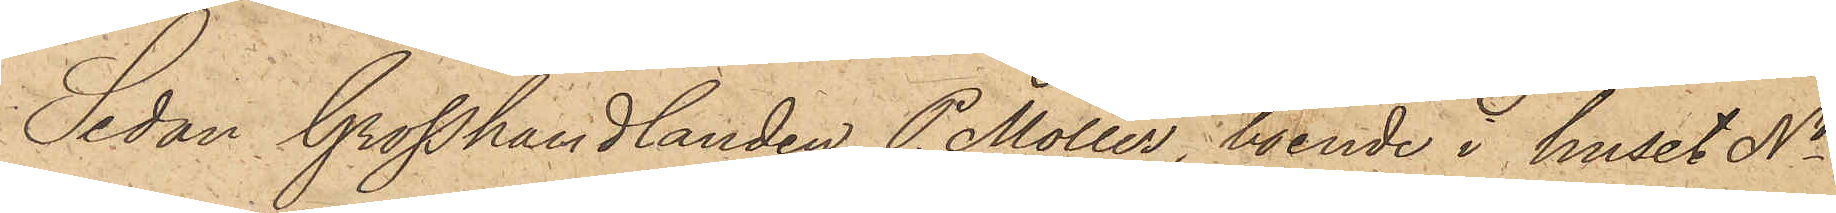Sedan Grosshandlanden P. Möller, boende i huset No
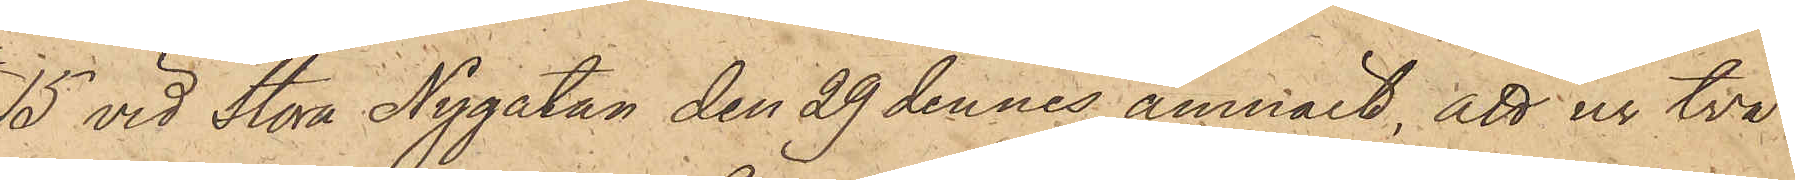15 vid Stora Nygatan den 29 dennes anmält, att ur två
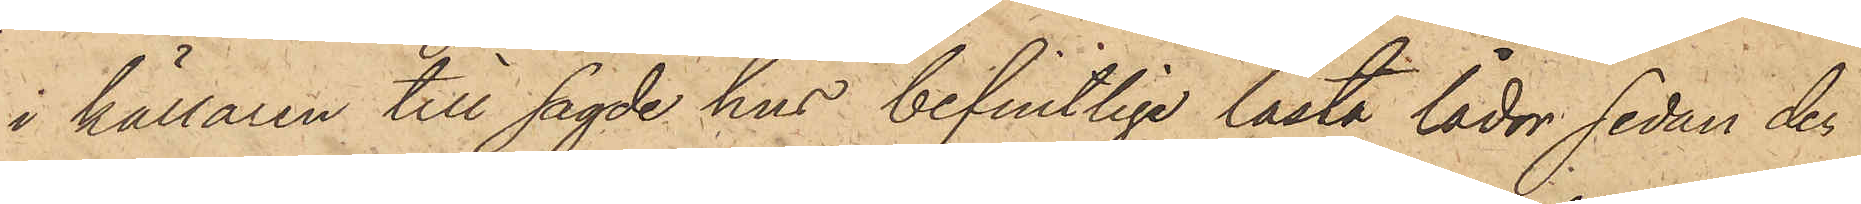i källaren till sagde hus befintlige låsta lådor sedan den
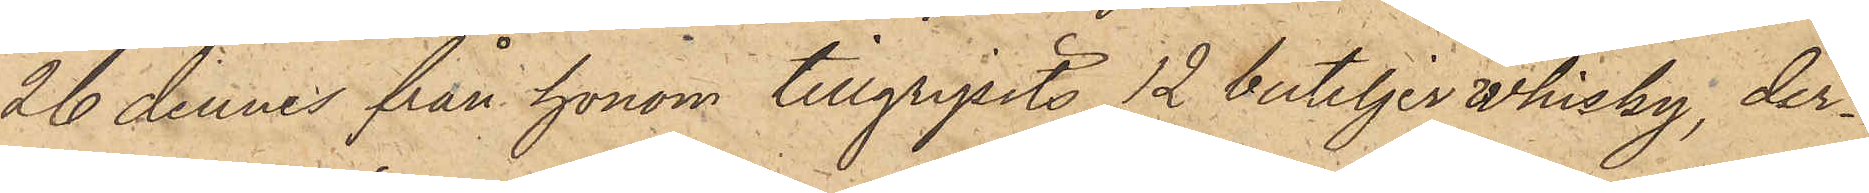26 dennes från honom tillgripits 12 buteljer whisky, der¬
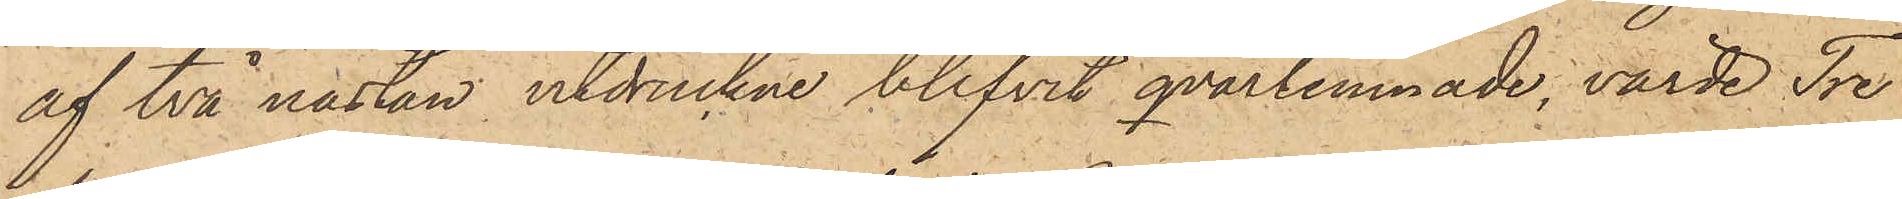af två nästan utdruckne blifvit qvarlemnade, värde Tre
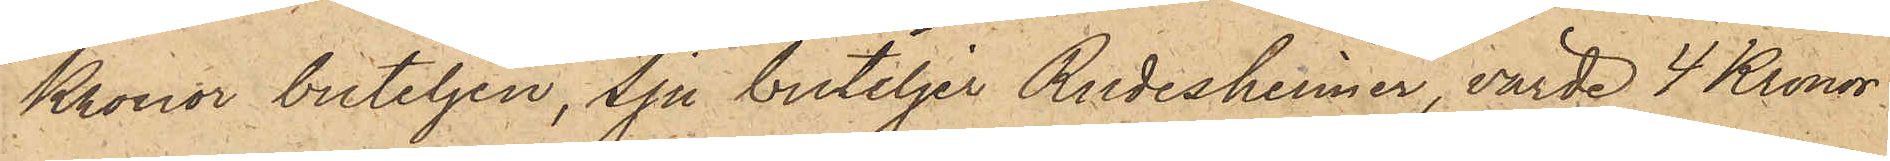Kronor buteljen, sju buteljer Rudesheimer, värde 4 Kronor
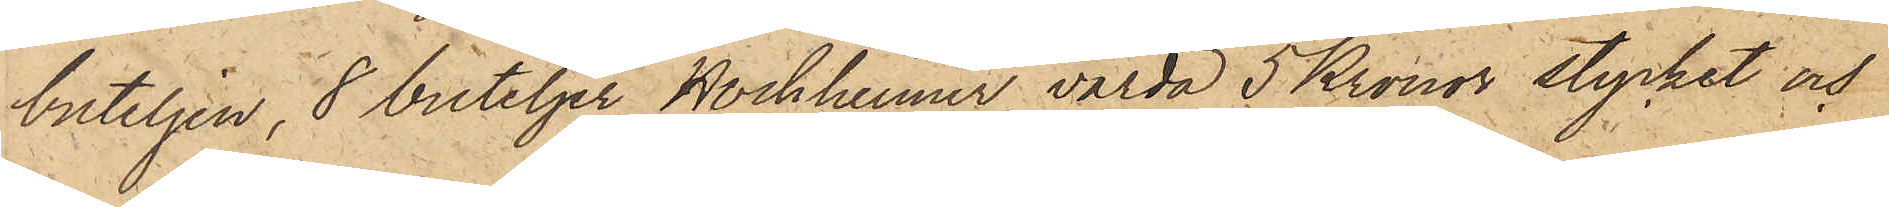buteljen, 8 buteljer Hockheimer, värda 5 Kronor stycket och
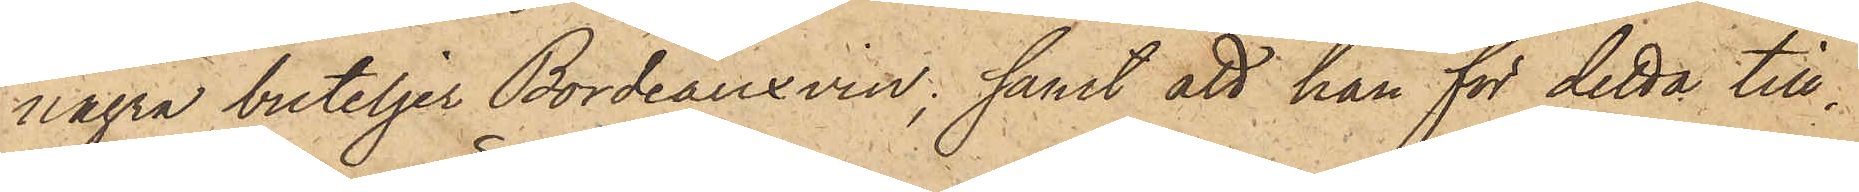några buteljer Bordeauxvin; samt att han för detta till¬
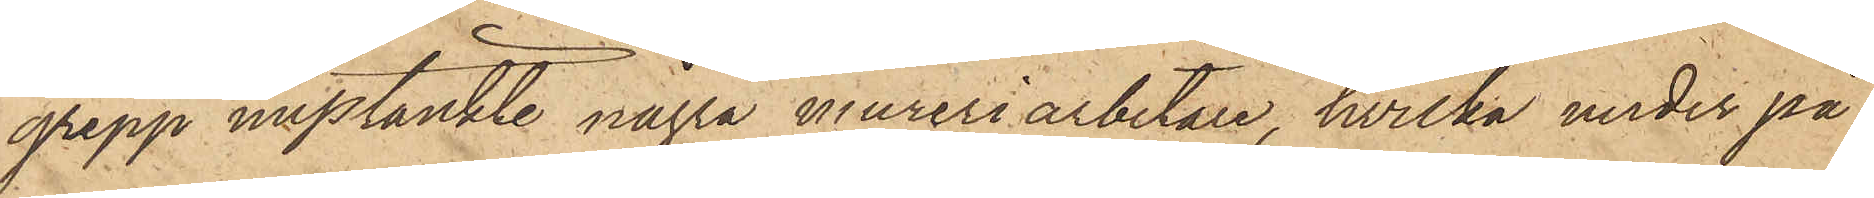grepp misstänkte några mureriarbetare, hvilka under på¬
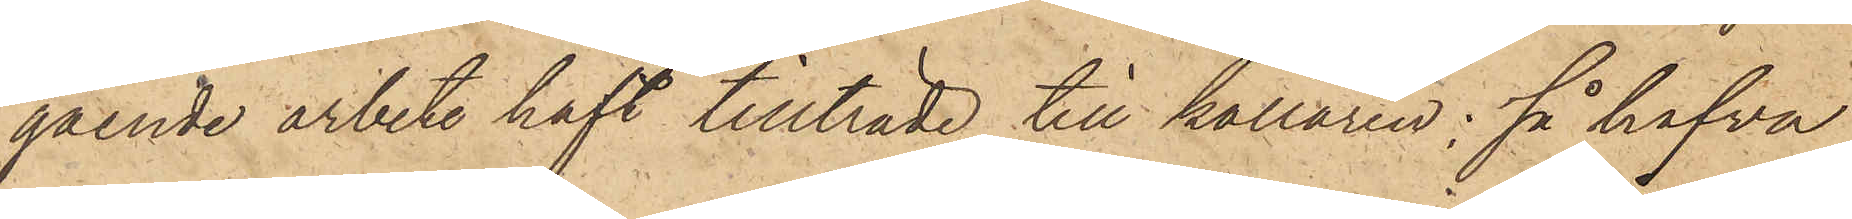gående arbete haft tillträde till källaren; så hafva
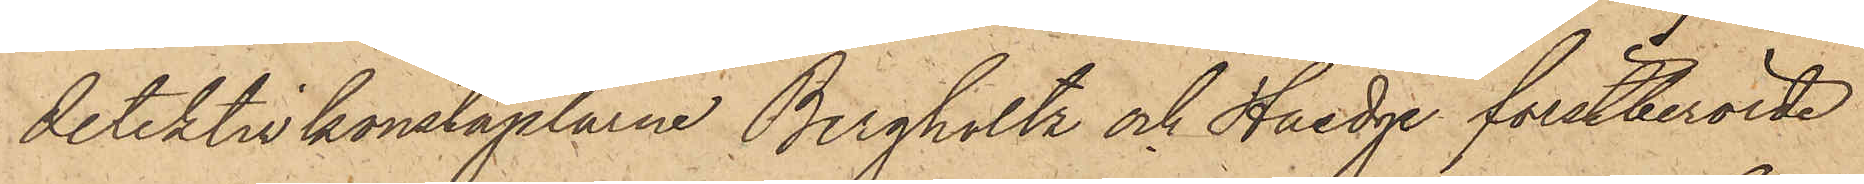detektivkonstaplarne Bergholtz och Haedge förstberörde
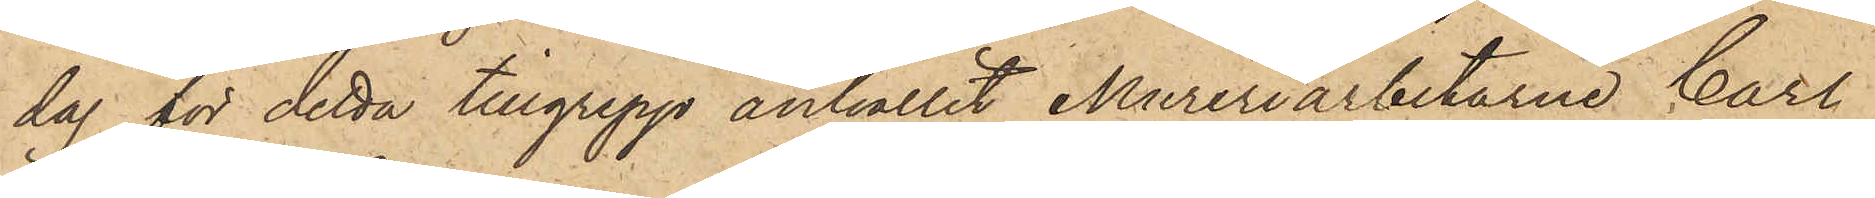dag för detta tillgrepp anhållit Mureriarbetarne Carl
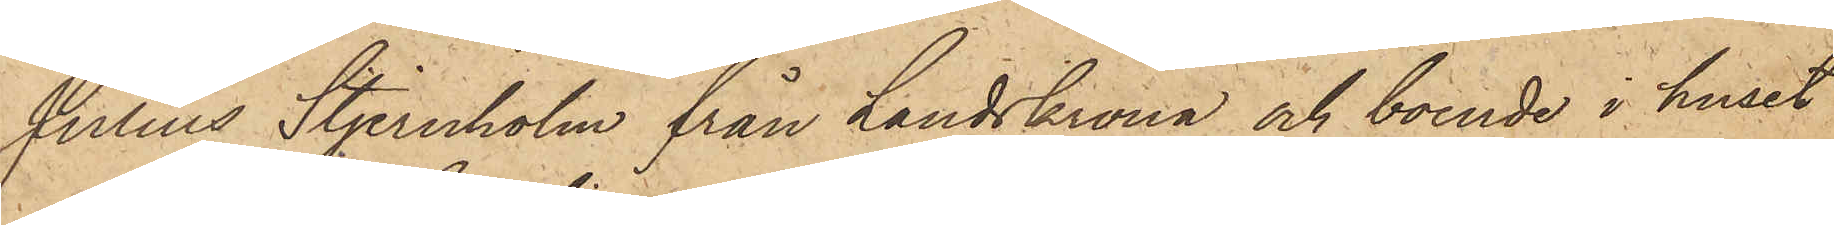Julius Stjernholm från Landskrona och boende i huset
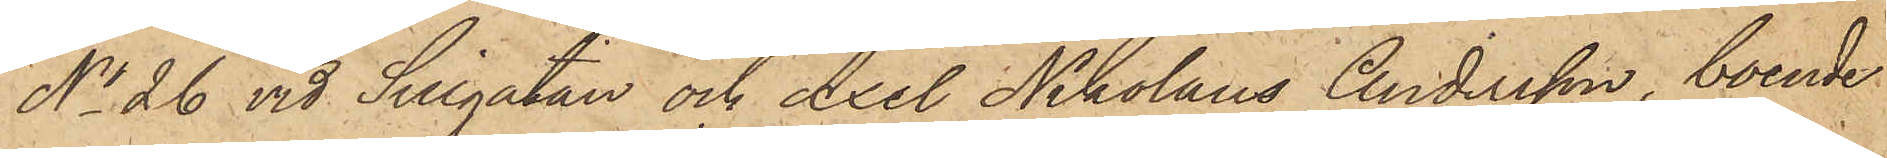No 26 vid Sillgatan och Axel Nikolaus Andersson, boende
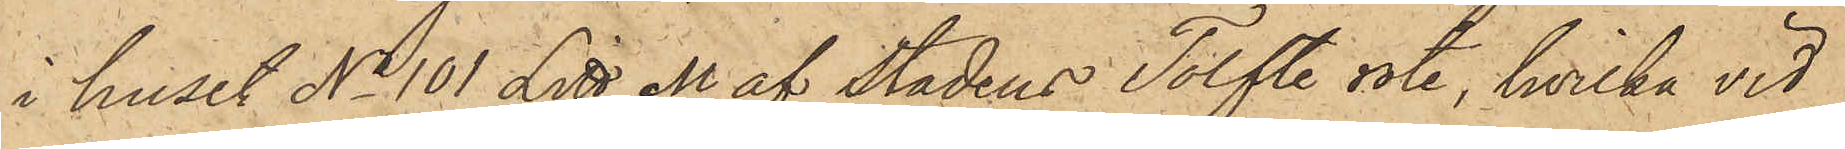i huset No 101 Litt M af Stadens Tolfte rote, hvilka vid
